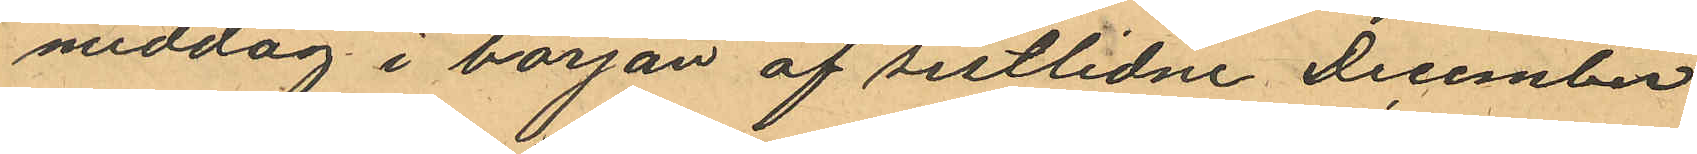middag i början af sistlidne December
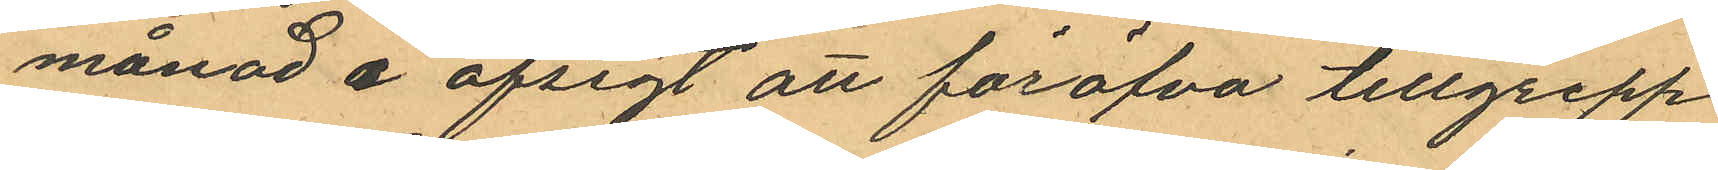månad i afsigt att föröfva tillgrepp
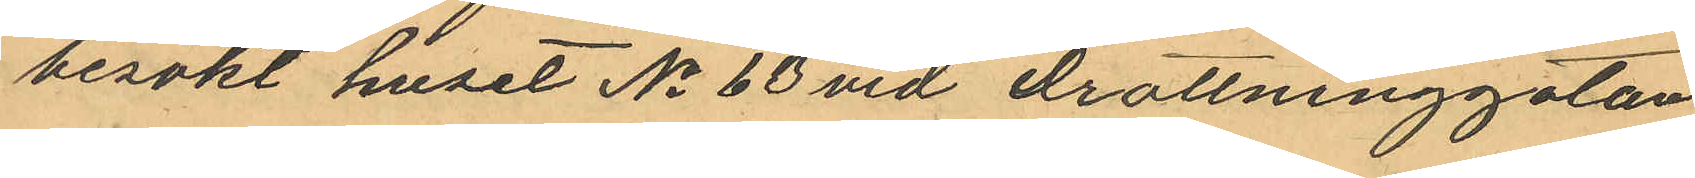besökt huset No 63 vid Drottninggatan,
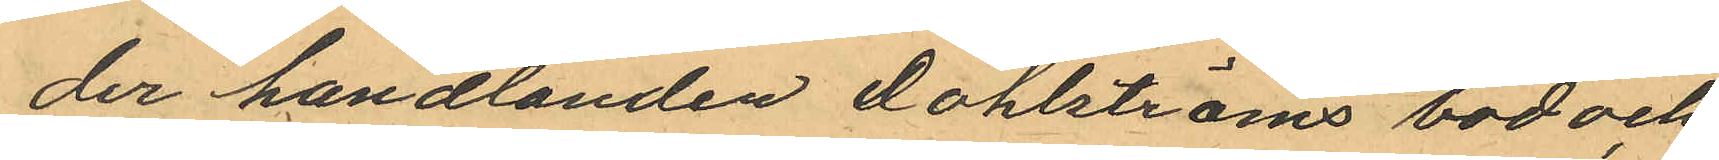der handlanden Dahlströms bod och
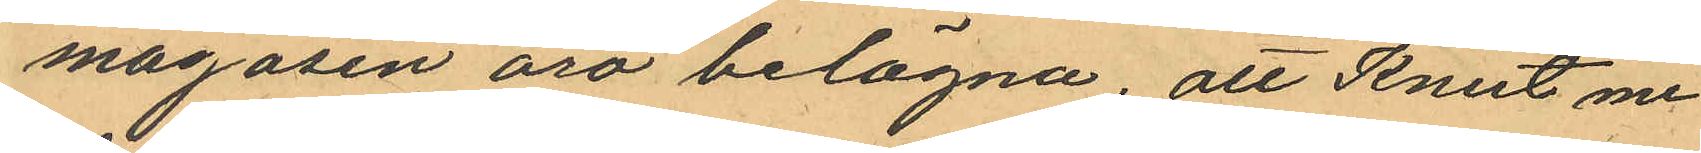magasin äro belägna; att Knut me¬
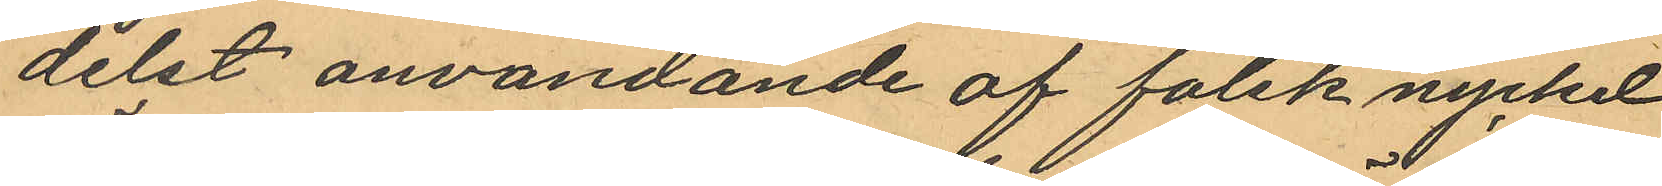delst användande af falsk nyckel
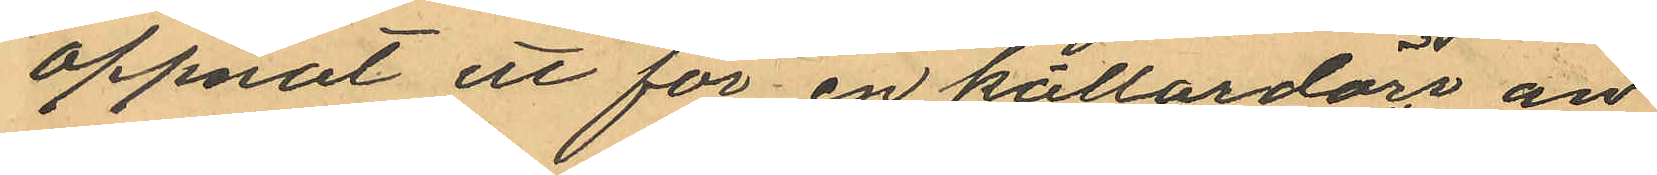öppnat ett för en källardörr an¬
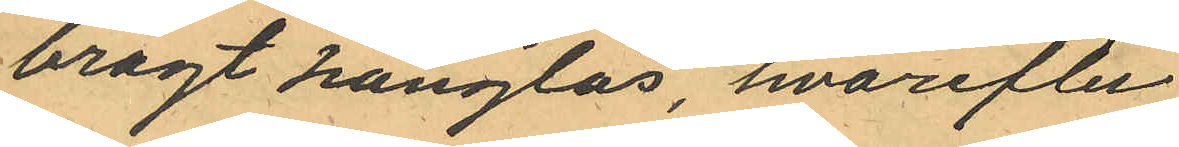bragt hänglås, hvarefter
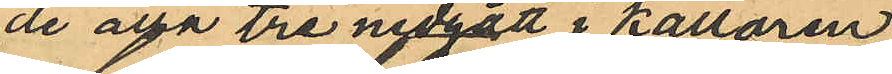de alla tre nedgått i källaren
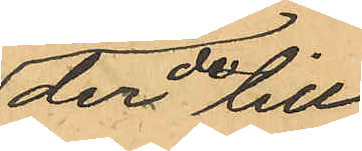der de till
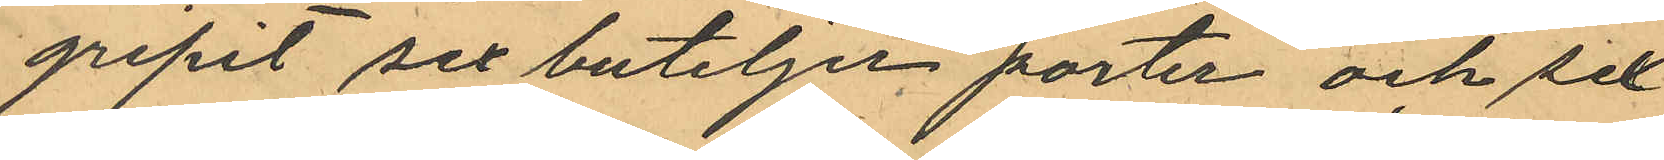gripit sex buteljer porter och sex
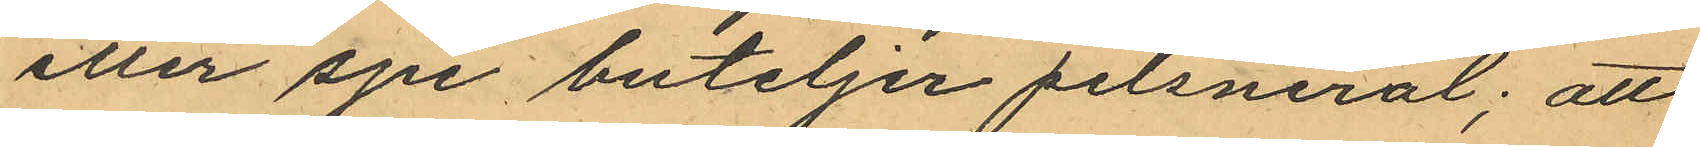eller sju buteljer pilsneröl; att
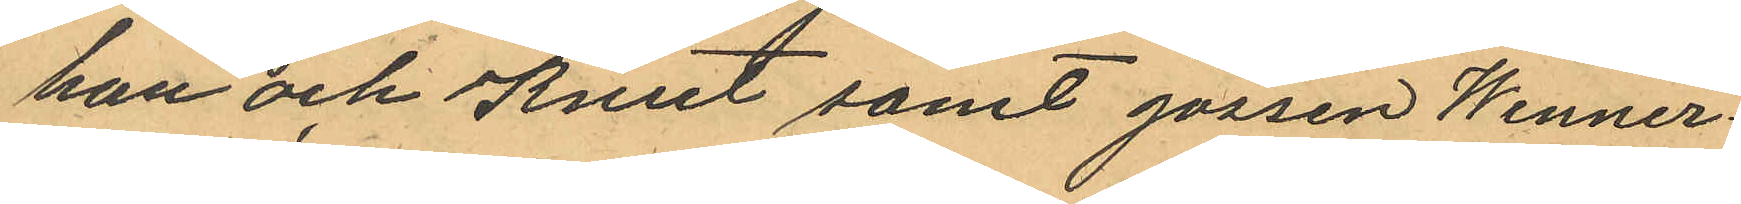han och Knut samt gossen Wenner¬
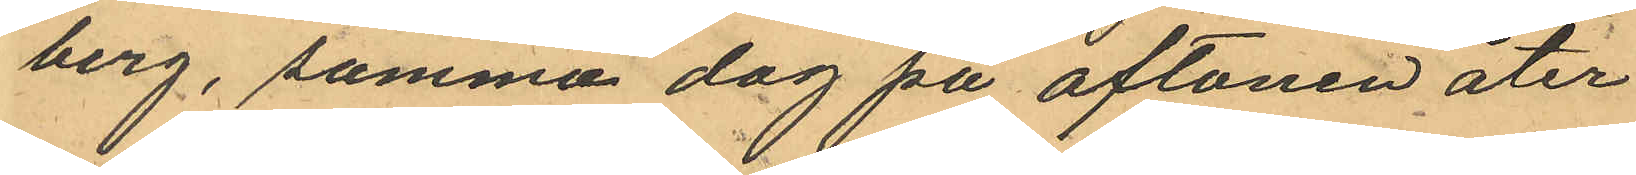berg, samma dag på aftonen åter
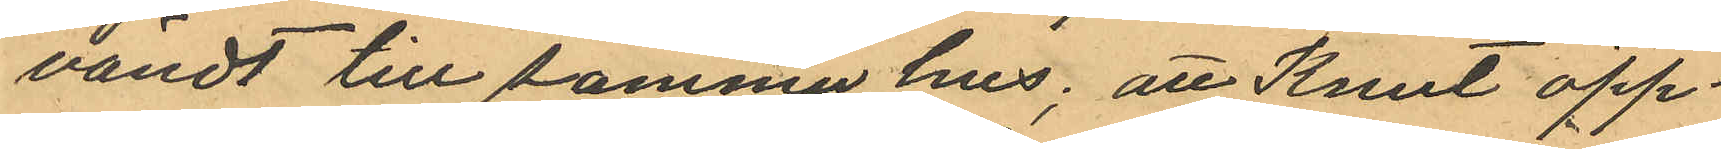vändt till samma hus; att Knut öpp¬
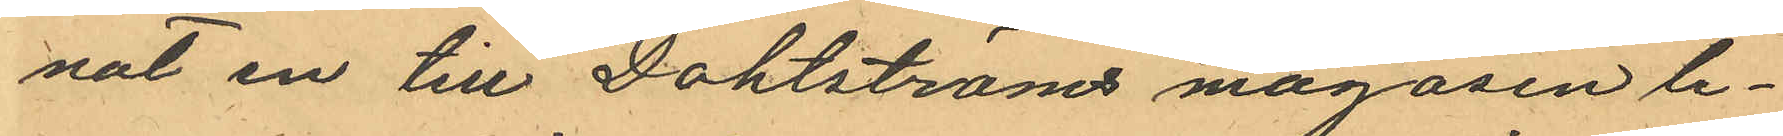nat en till Dahlströms magasin le¬
